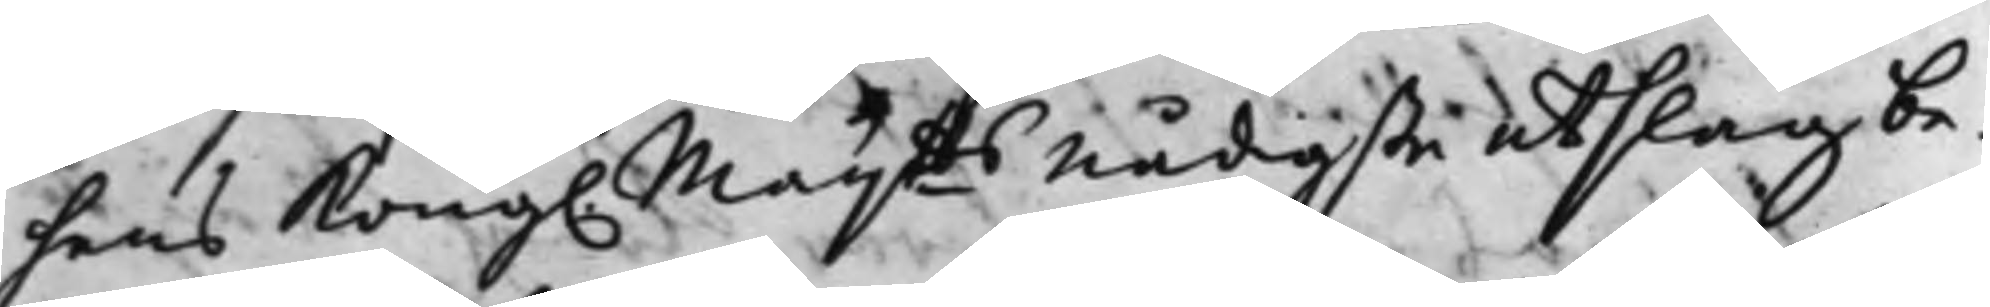hans Kong. Maij.tts nådigste utslag be¬
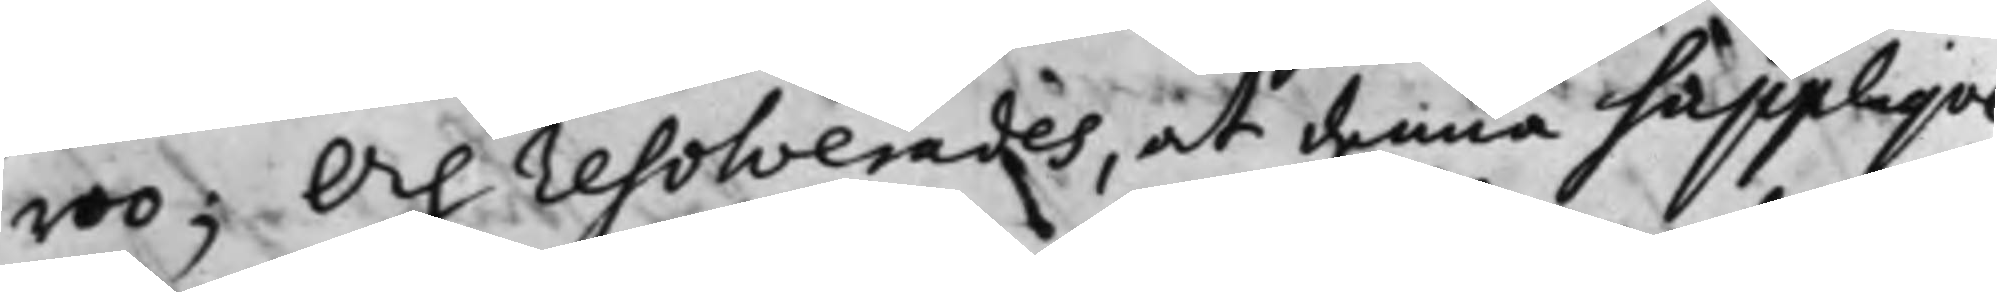roo; Och resolverades, at denna Suppliqve
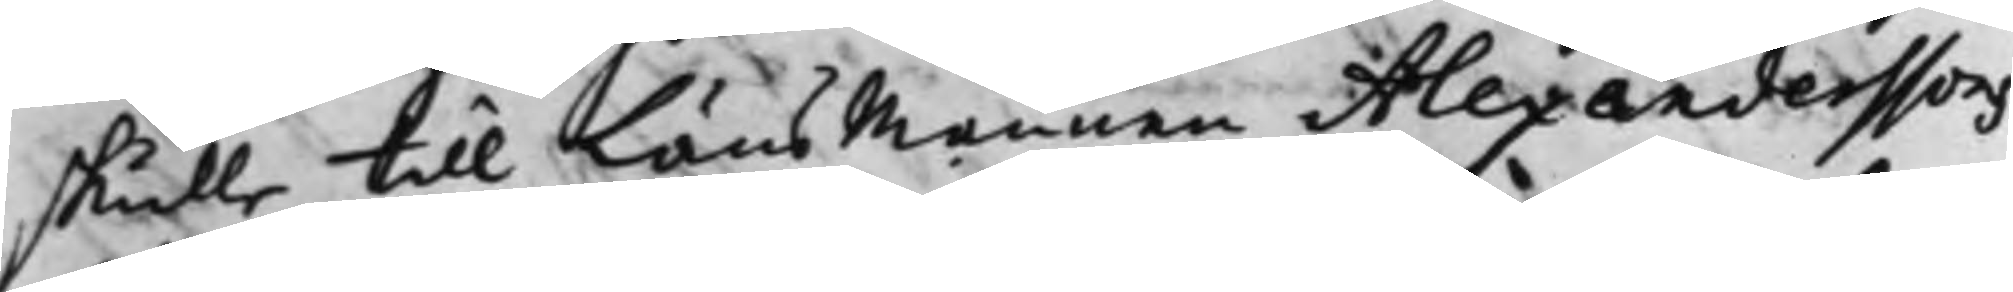skulle till LänsMannen Alexanderssons
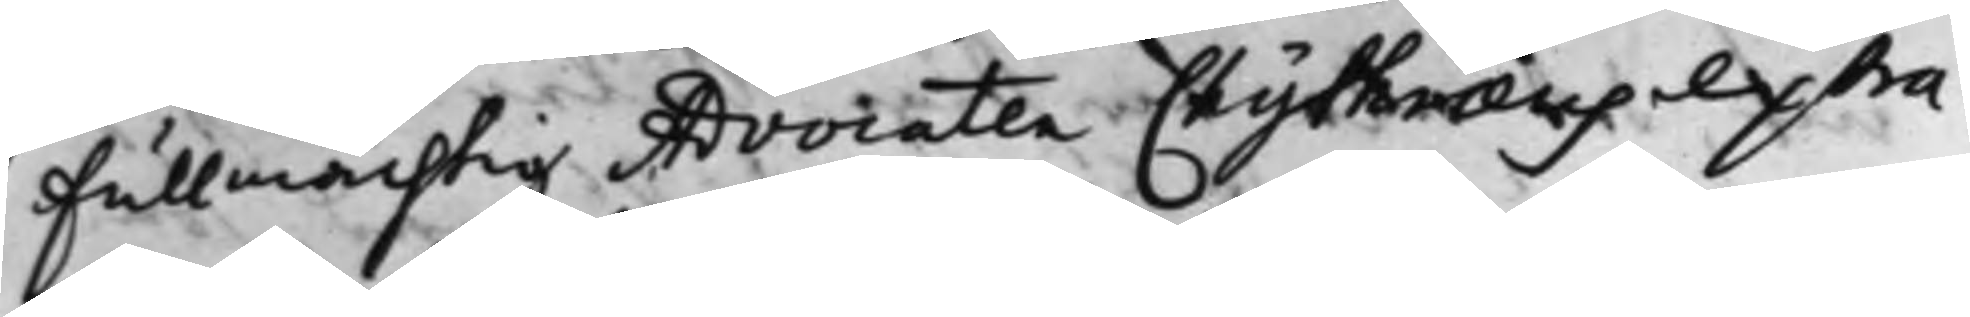Fullmächtig Advocaten Chythraeus extra¬
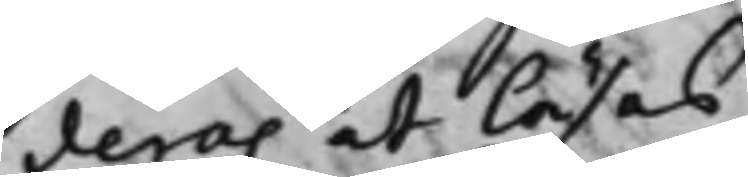deras at läsas.
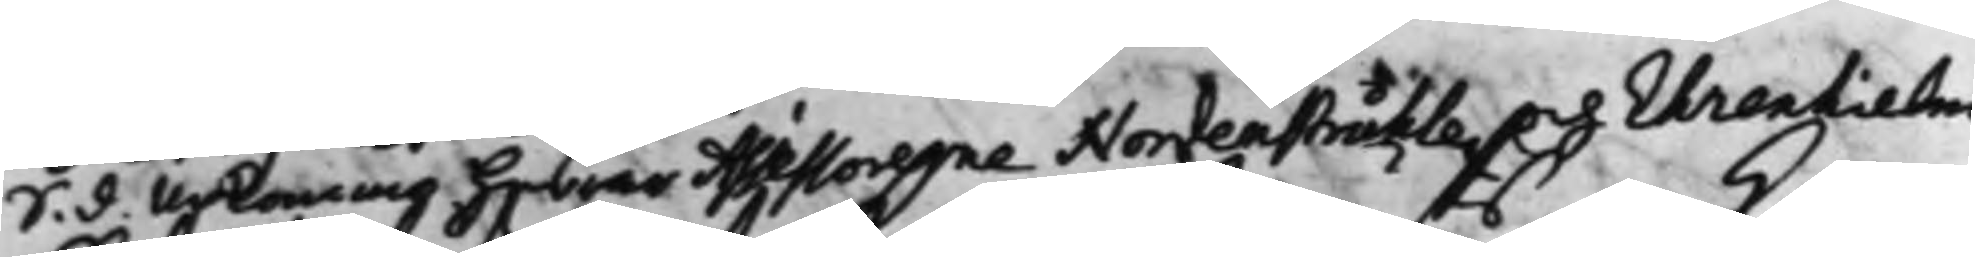S. d. Upkommo Assessorerne Nordenstråhle och Ehrenhielm
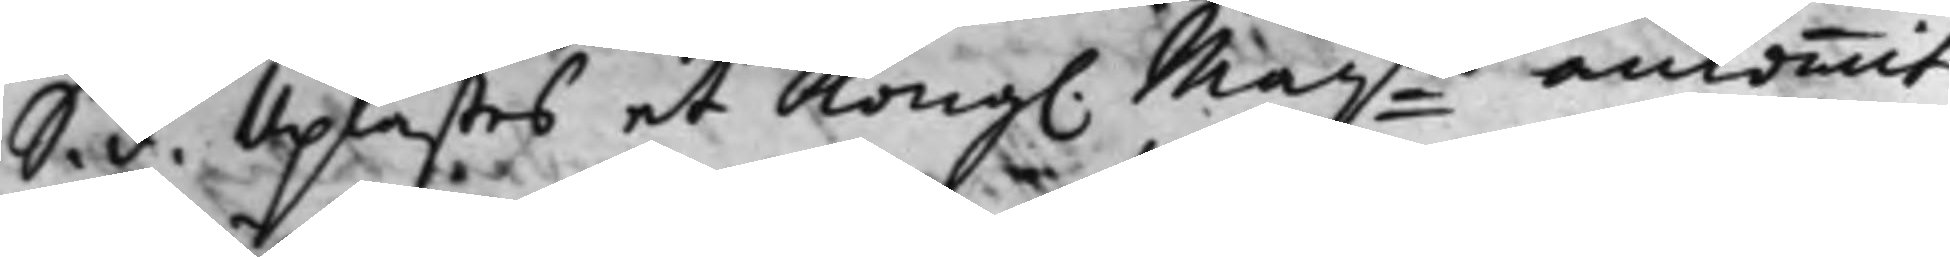S. d. Uplästes et Kong. Maij:ts ankommit
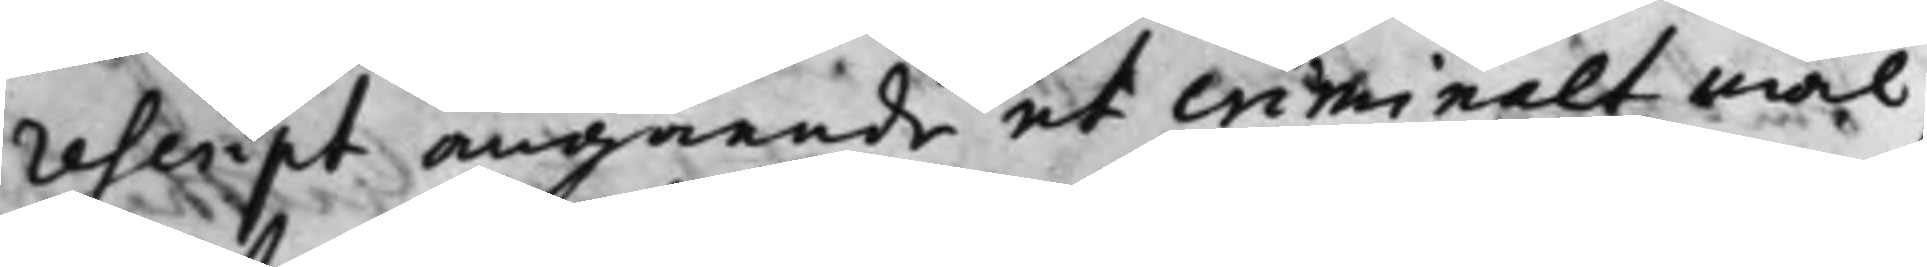rescript angående et criminalt mål,
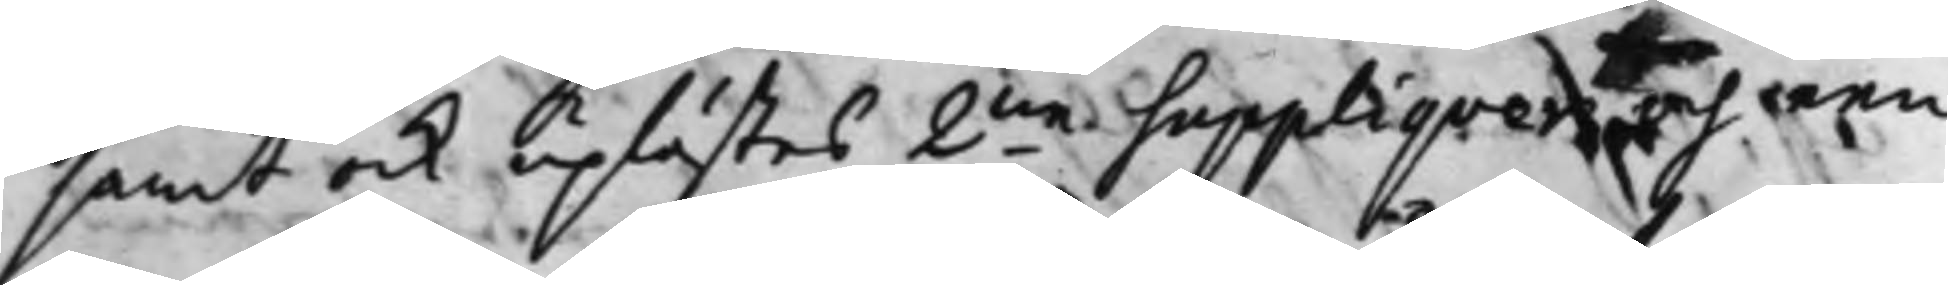samt ock uplästes 2.ne Suppliqver och een
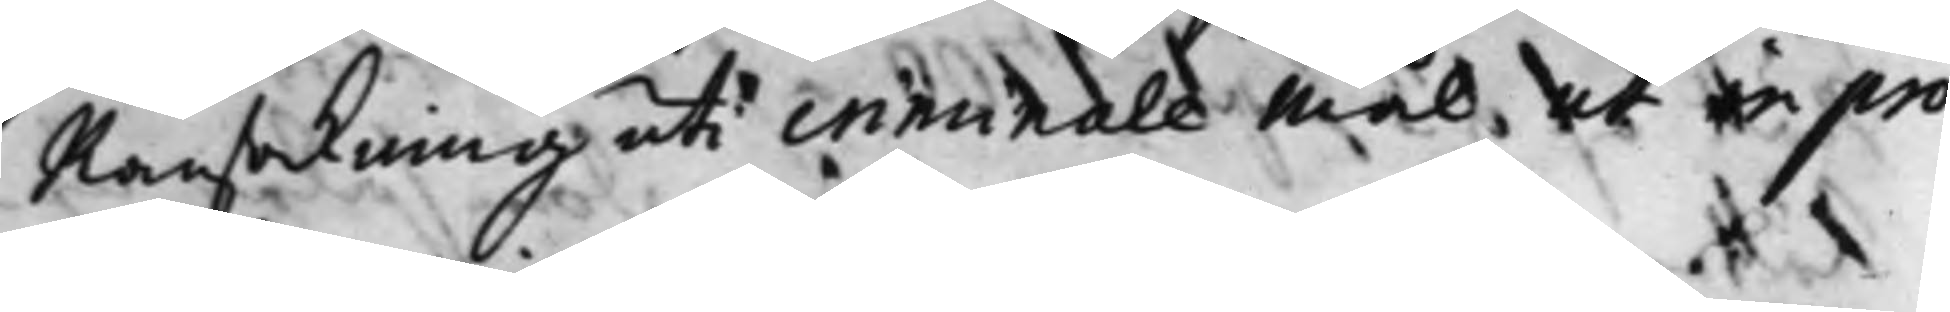Ransakning uti criminale Mål, ut in pro¬
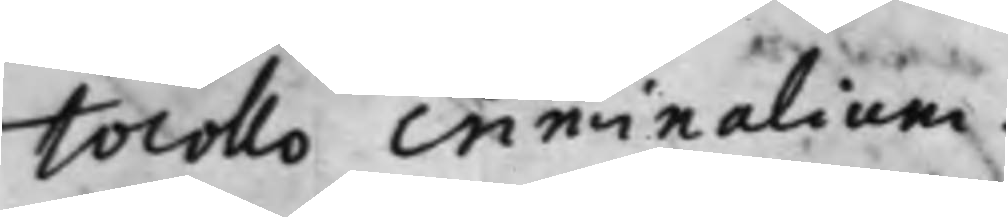tocollo Criminalium.
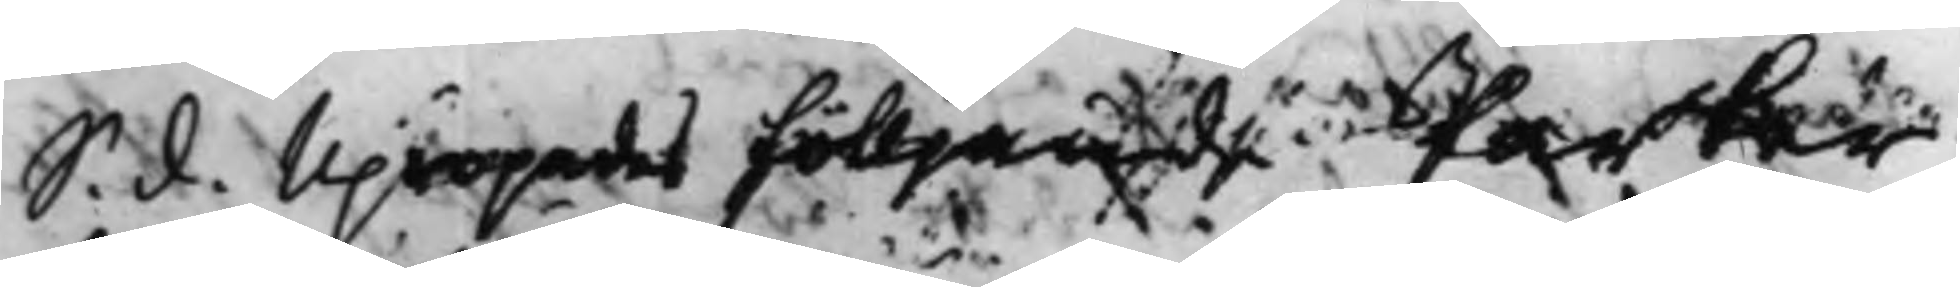S. d. Upropades fölljande Parter
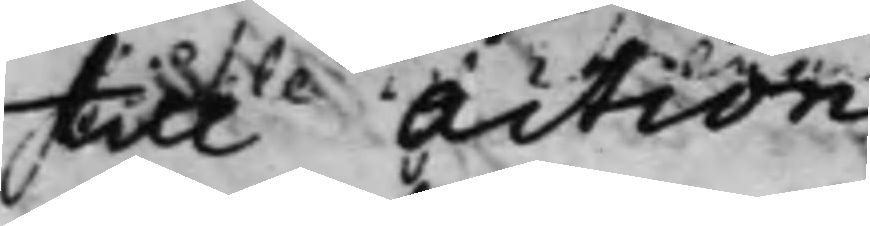till Action:
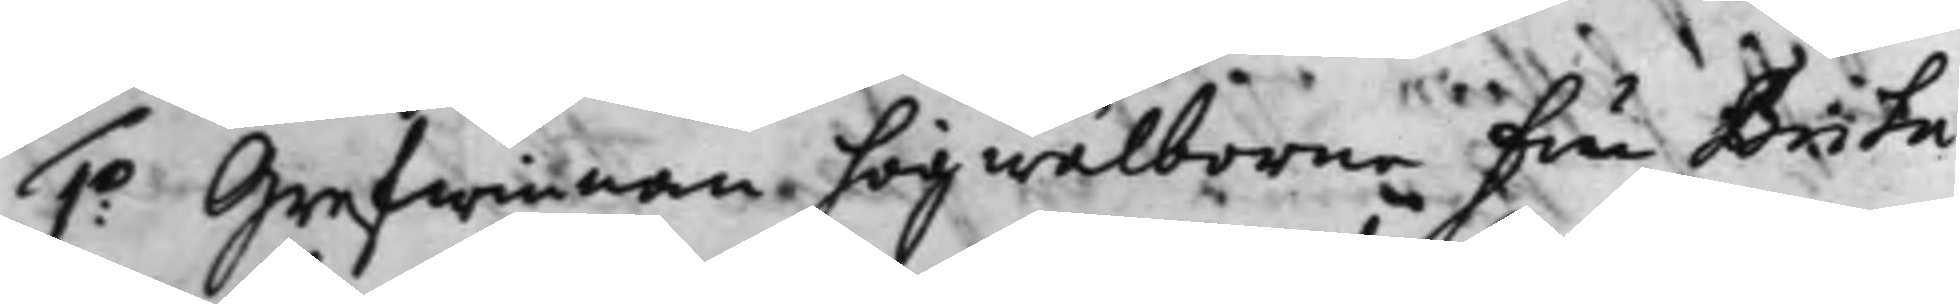1:o Grefwinnan högwälborne Fru Brita
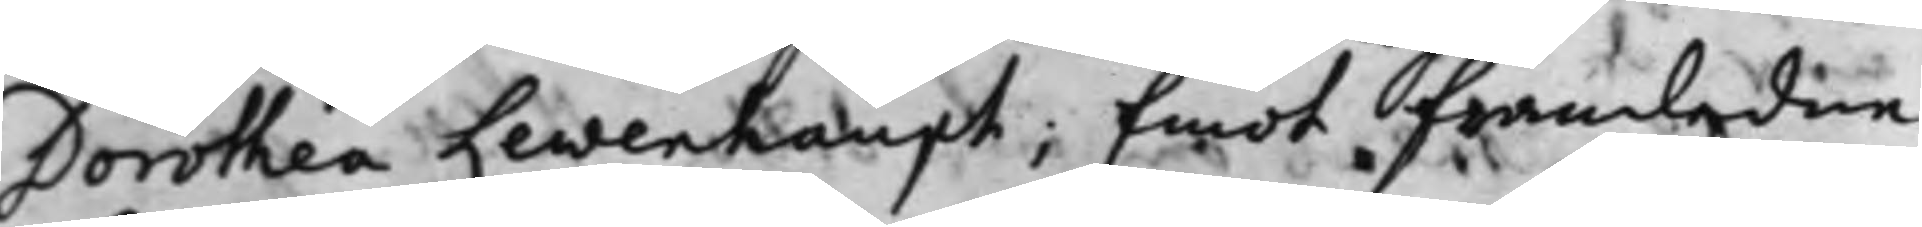Dorothea Lewenhaupt; Emot framledne
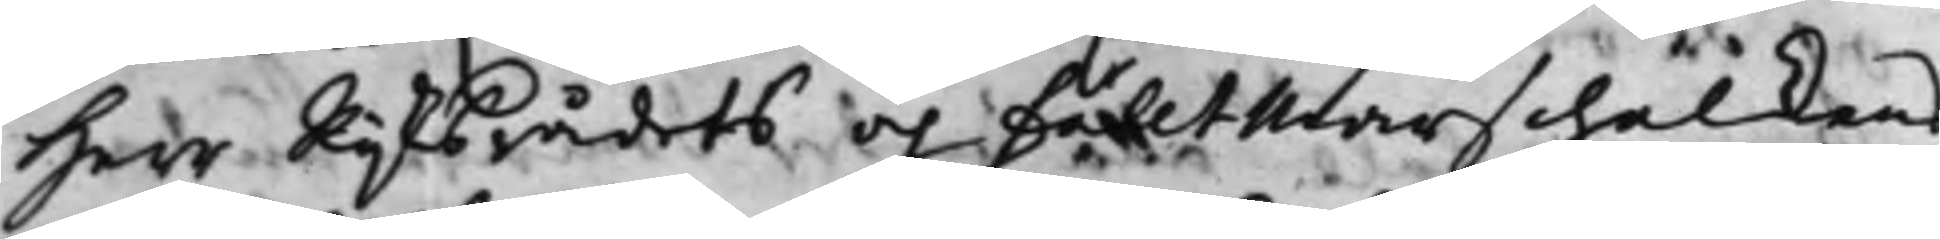Herr Rijksrådets och FälltMarschalkens
